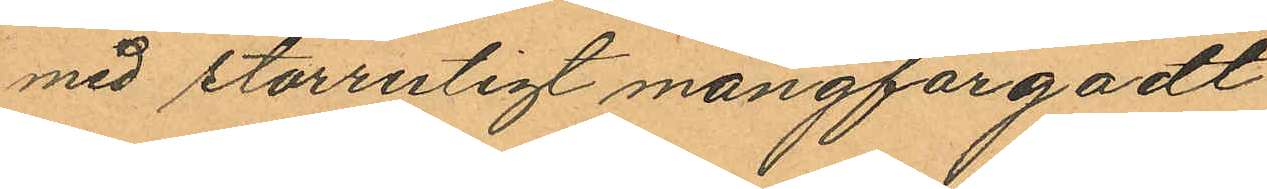med storrutigt mångfargadt
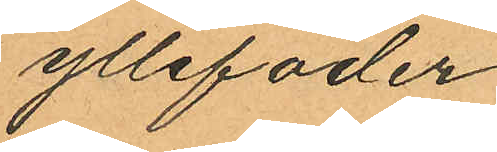yllefoder
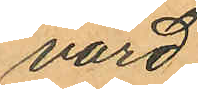värd
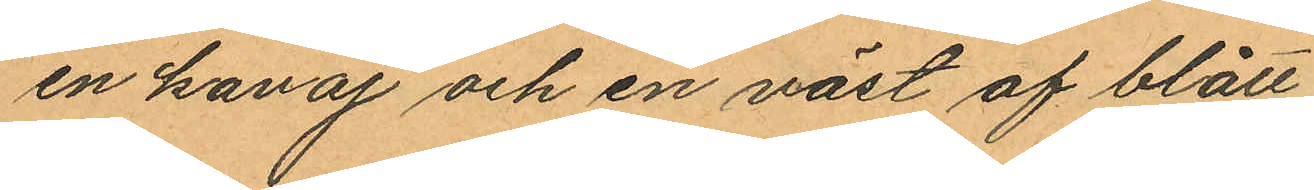en kavaj och en väst af blått
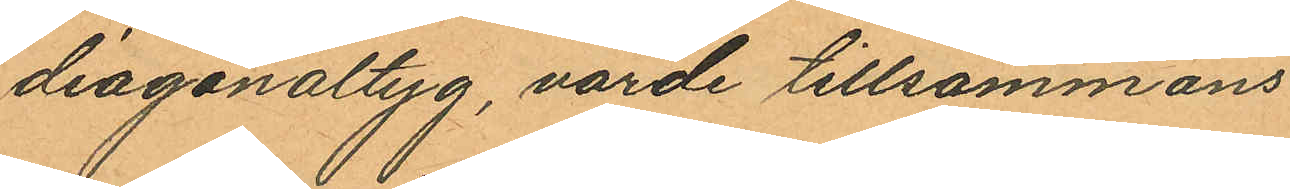diagonaltyg, värde tillsammans
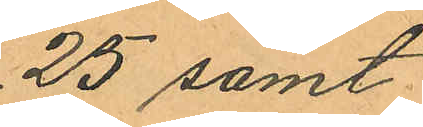25 samt
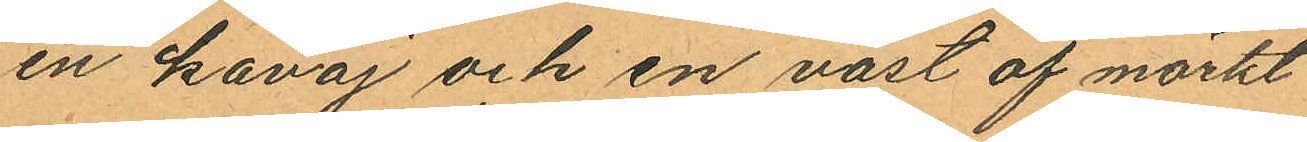en kavaj och en väst af mörkt
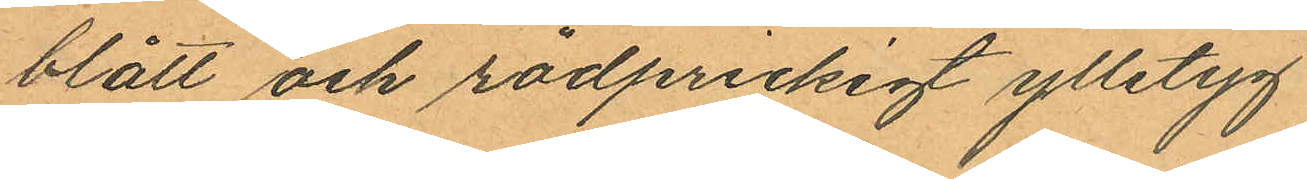blått och rödprickigt ylletyg
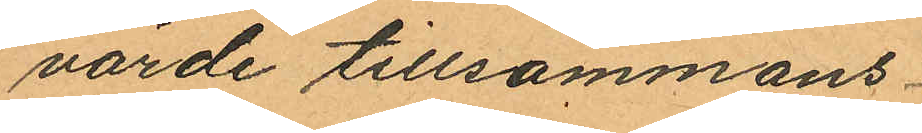värde tillsammans
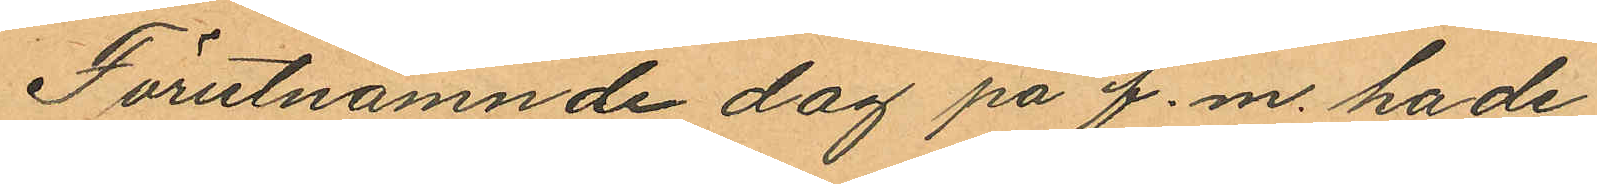Förutnämnde dag pa f.m. hade
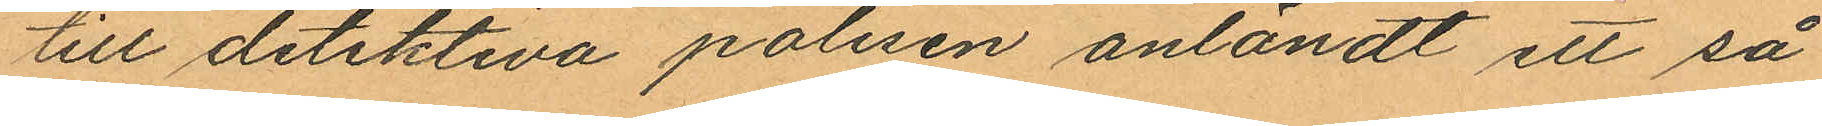till detektiva polisen anländt ett så
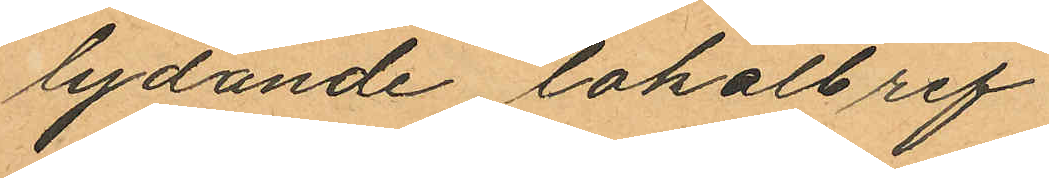lydande lokalbref
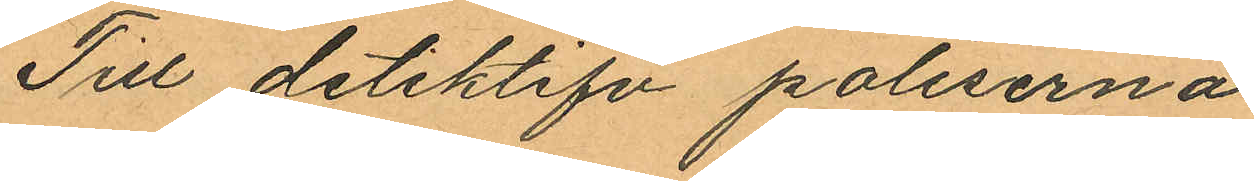Till detektifv poliserna
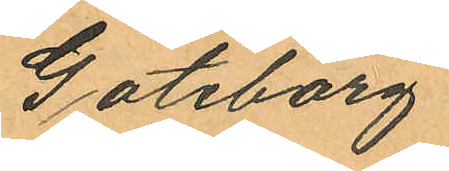Göteborg
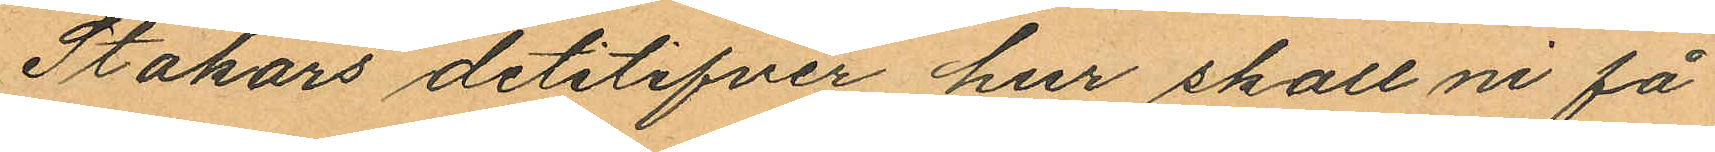Stakars detektifver hur skall ni få
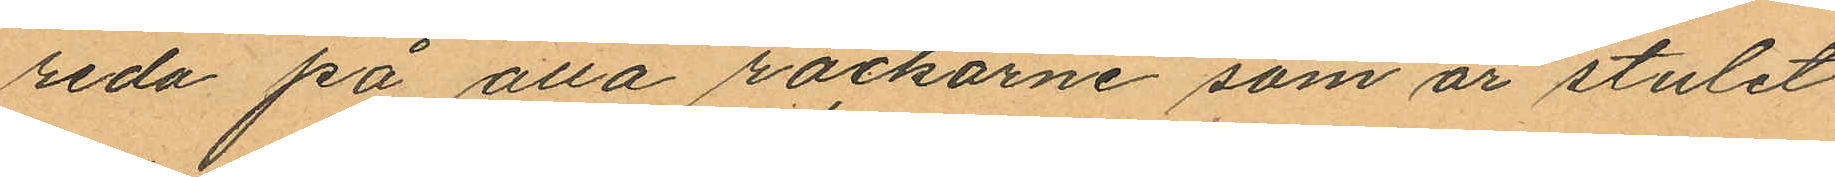reda på alla rockarne som är stulet
